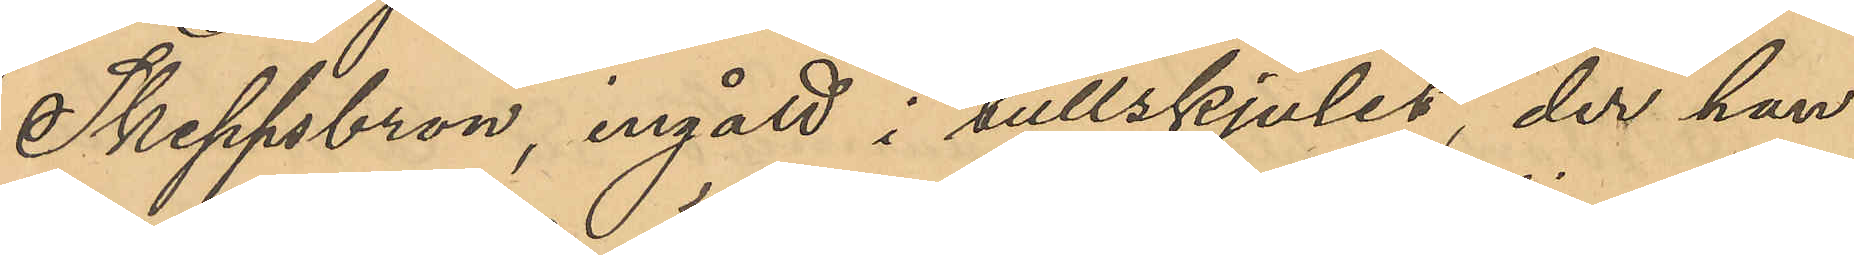Skeppsbron, ingått i tullskjulet, der han
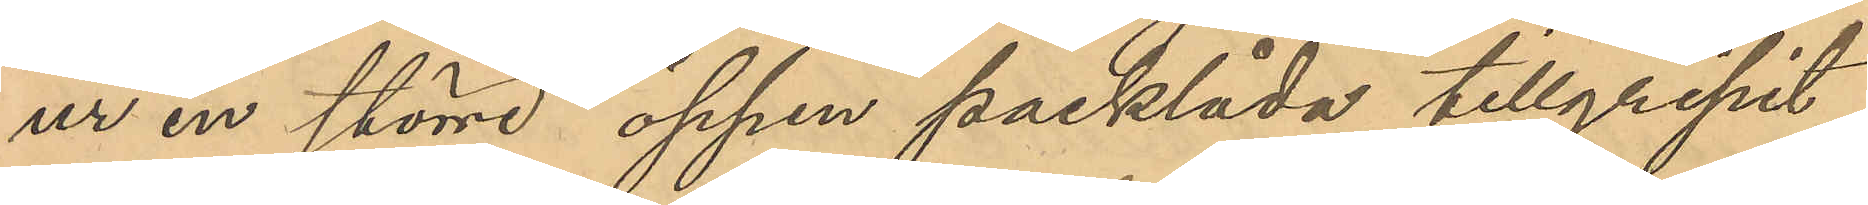ur en större öppen packlåda tillgripit
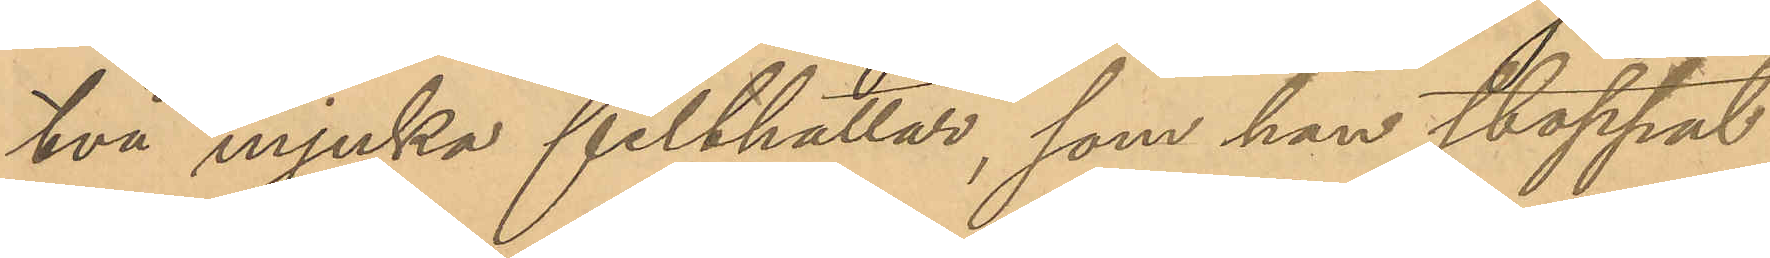två mjuka filthattar, som han stoppat
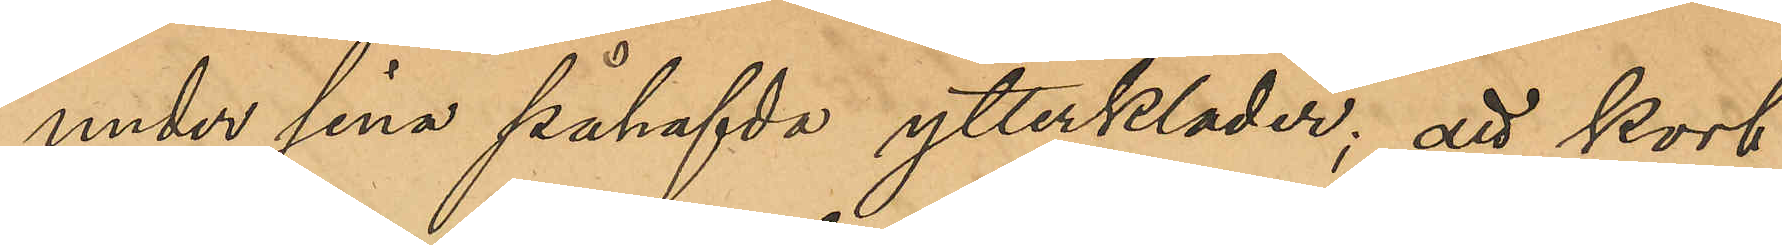under sina påhafvda ytterkläder; att kort
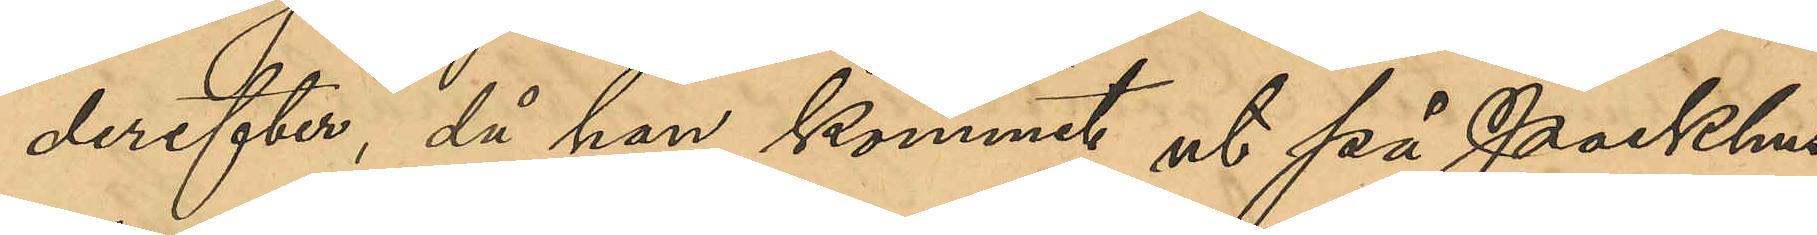derefter, då han kommit ut på Packhus¬
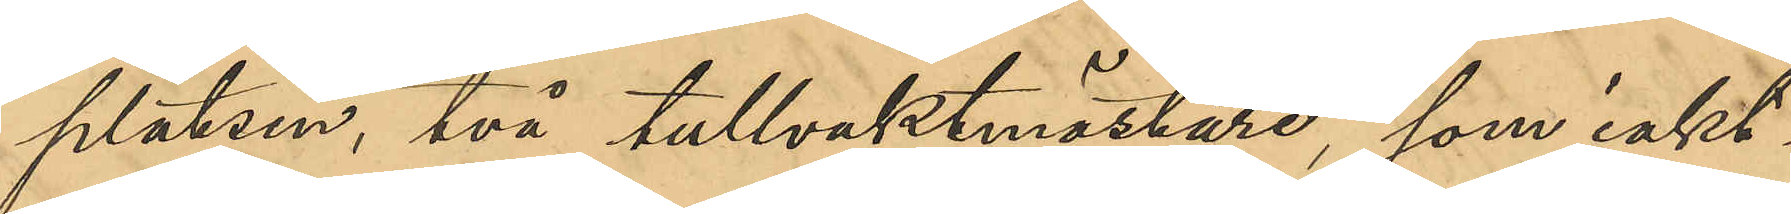platsen, två tullvaktmästare, som iakt¬
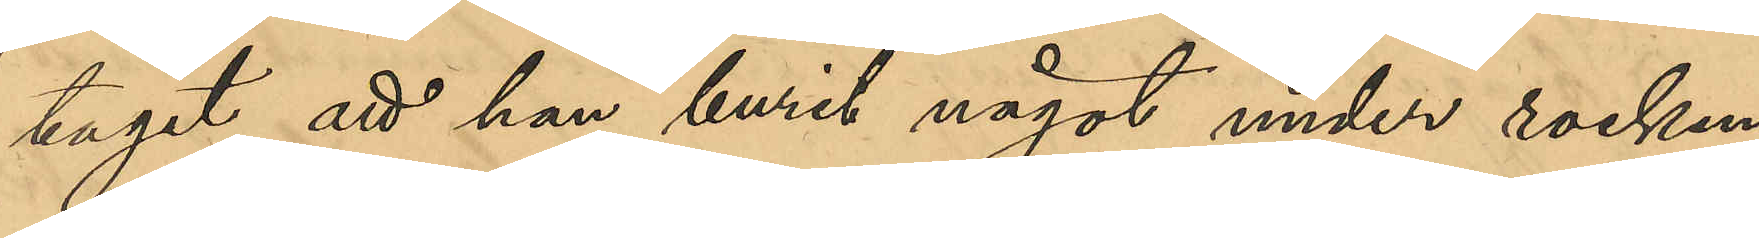tagit att han burit något under rocken,
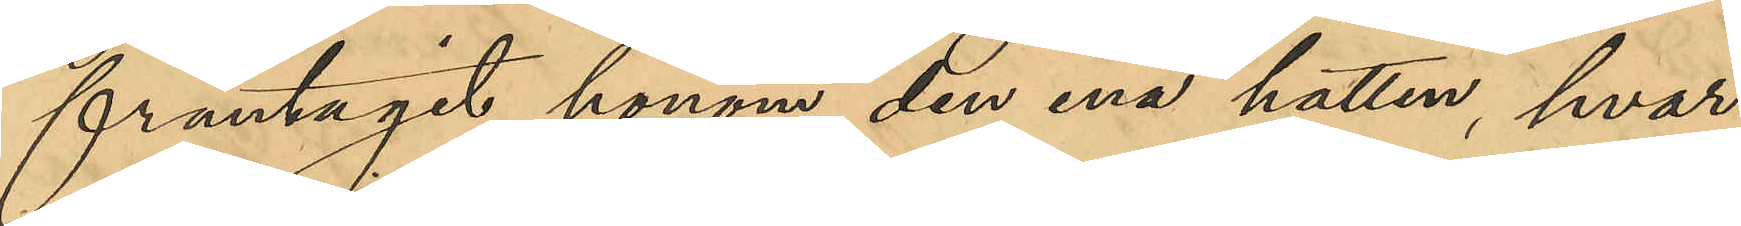fråntagit honom den ena hatten, hvar¬
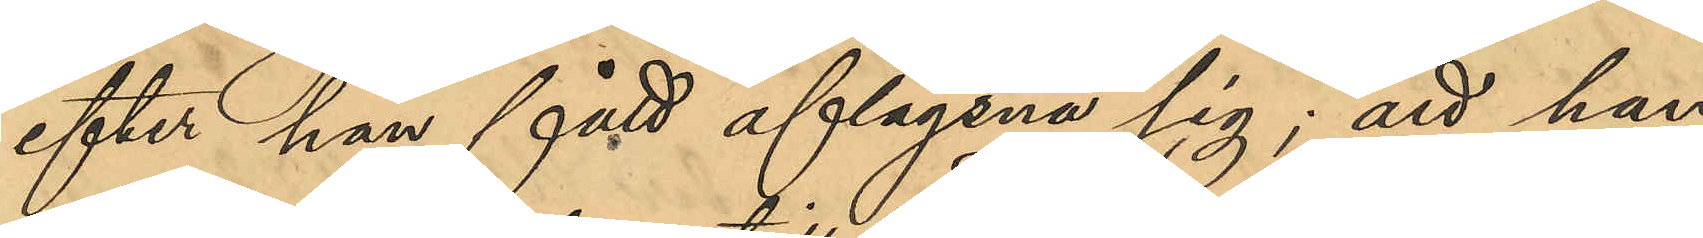efter han fått aflägsna sig; att han
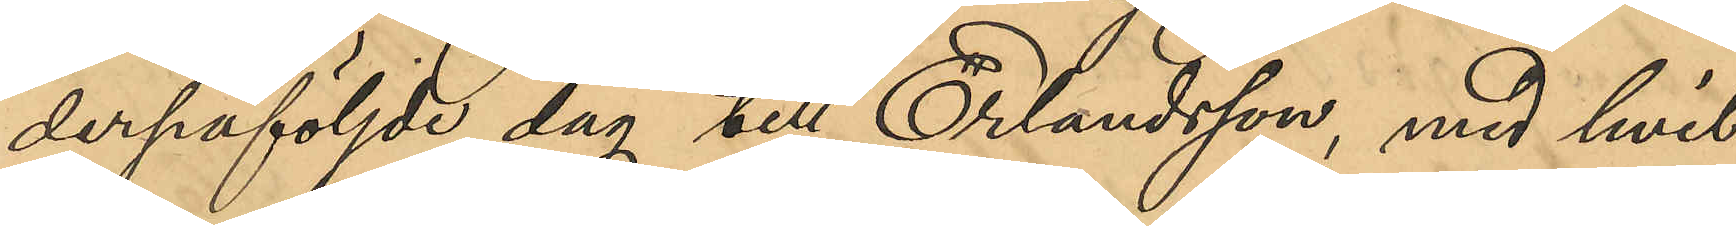derpåföljde dag till Erlandsson, med hvil¬
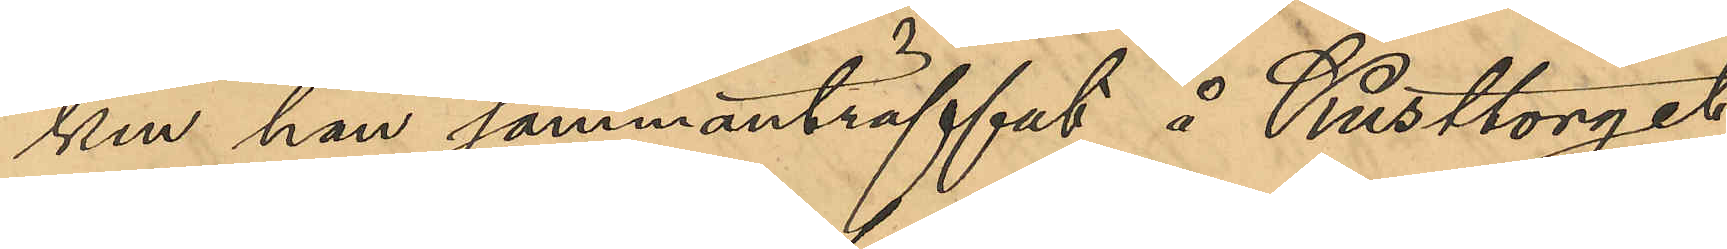ken han sammanträffat, å Kusttorget
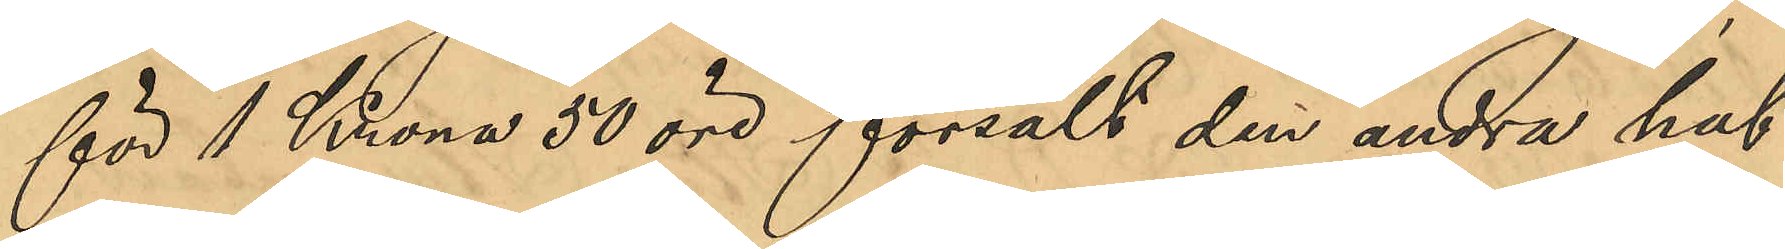för 1 Krona 50 öre försålt den andra hat¬
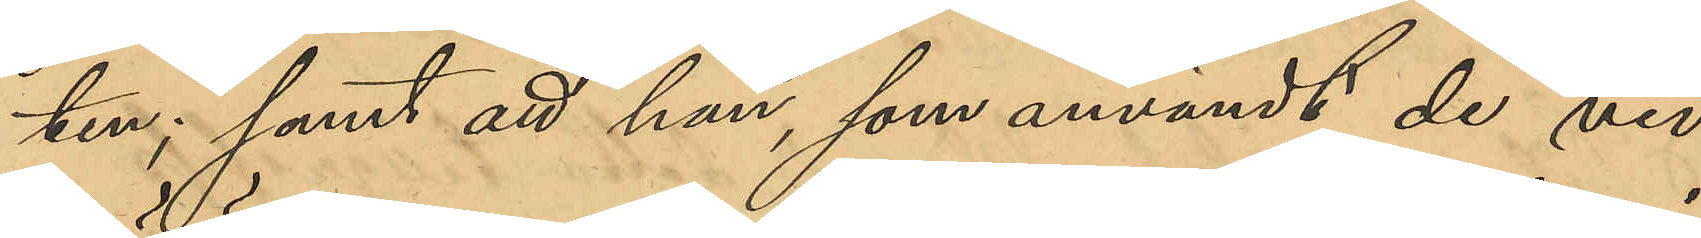ten; samt att han, som användt de vid
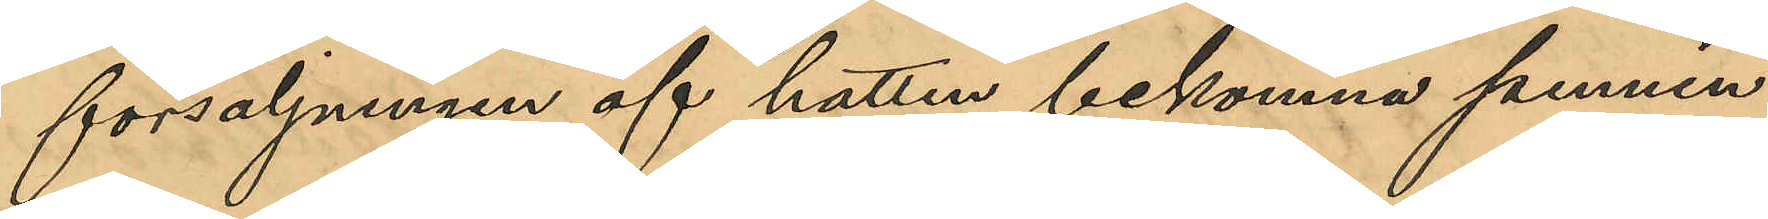försäljningen af hatten bekomna pennin¬
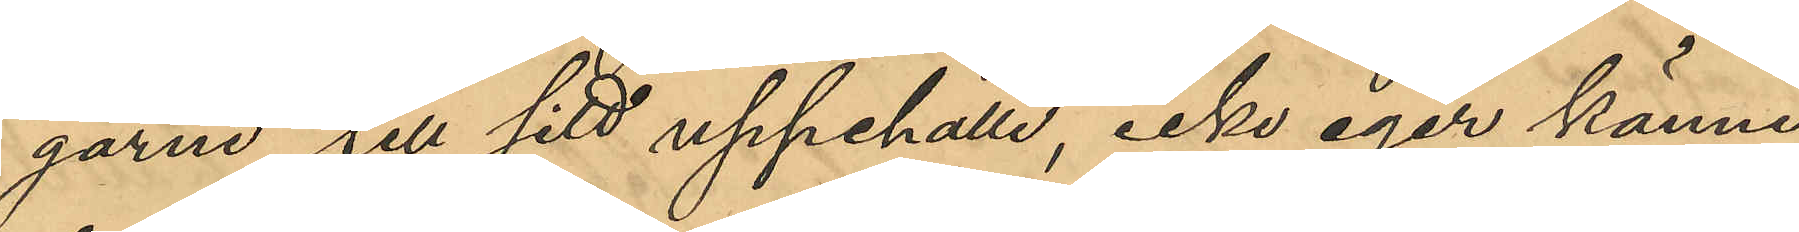garna till sitt uppehälle, icke eger känne¬
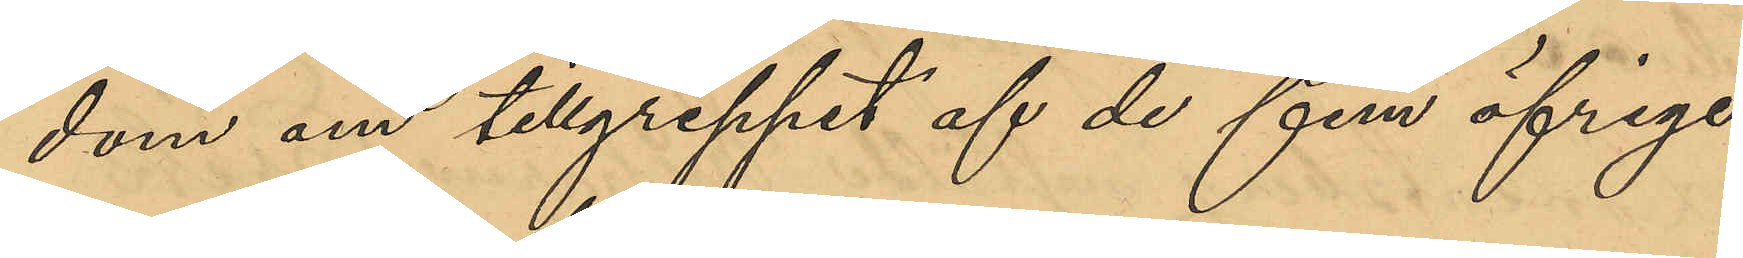dom om tillgreppet af de fem öfrige
